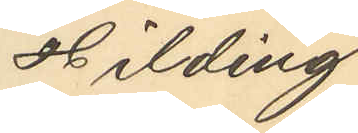Hilding
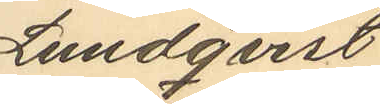Lundqvist
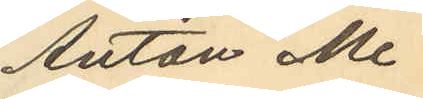Anton Me¬
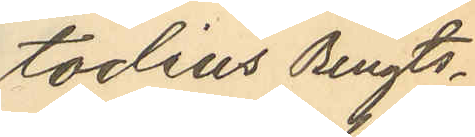todius Bengts¬
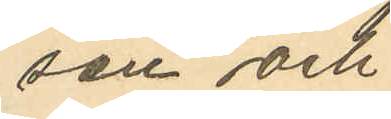sen och
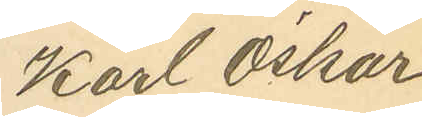Karl Oskar
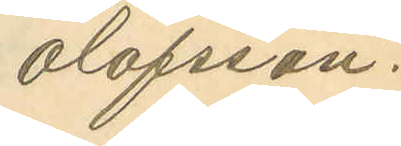Olofsson.
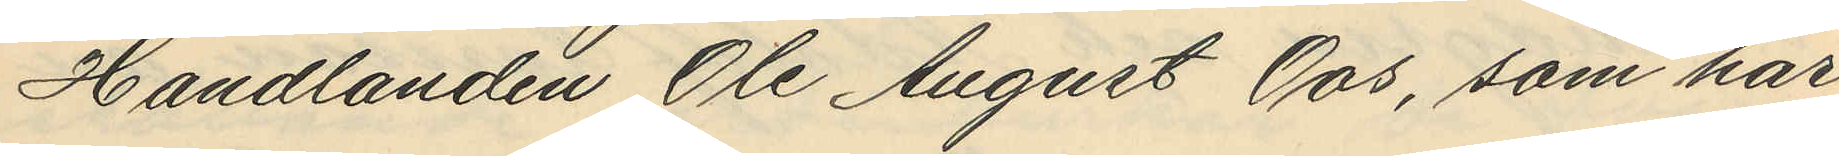Handlanden Ole August Oos, som har
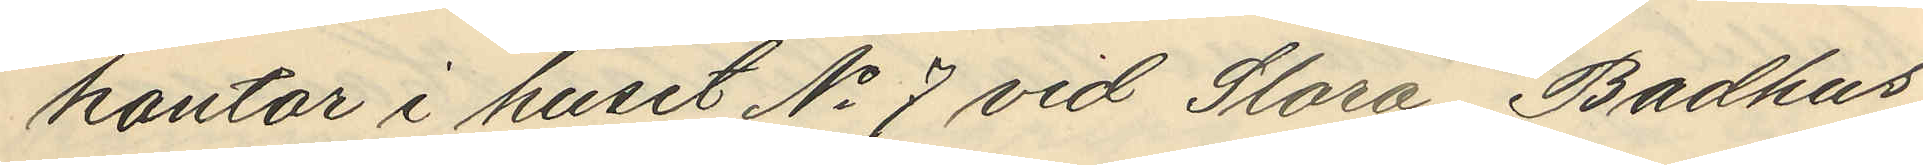kontor i huset No 7 vid Stora Badhus¬
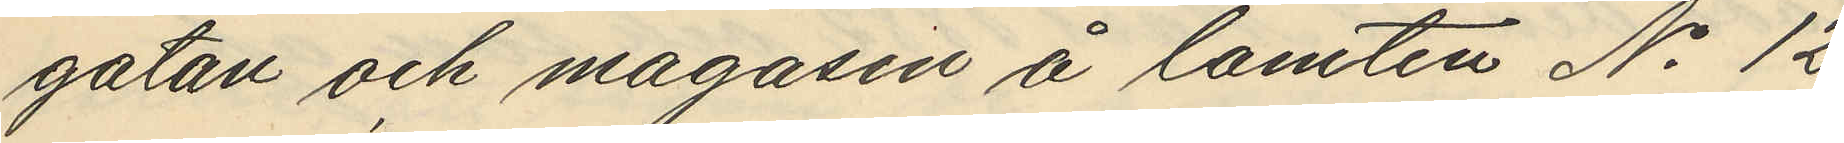gatan och magasin å tomten No 12
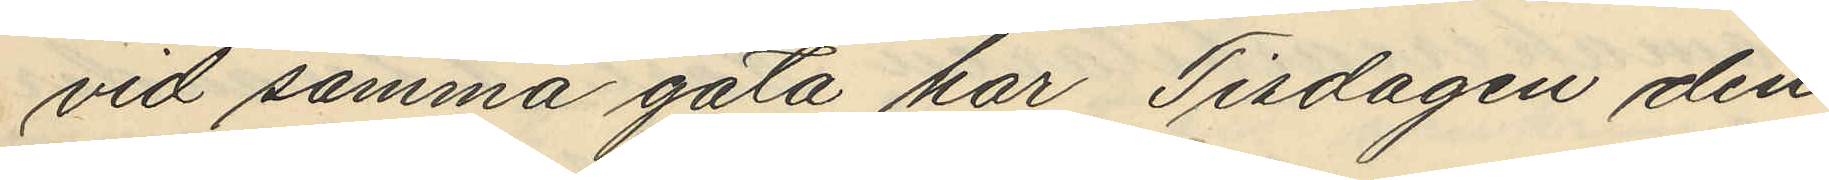vid samma gata har Tisdagen den
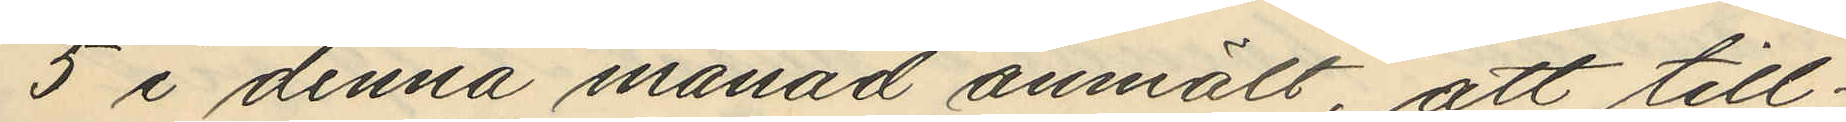5 i denna månad anmält, att till¬
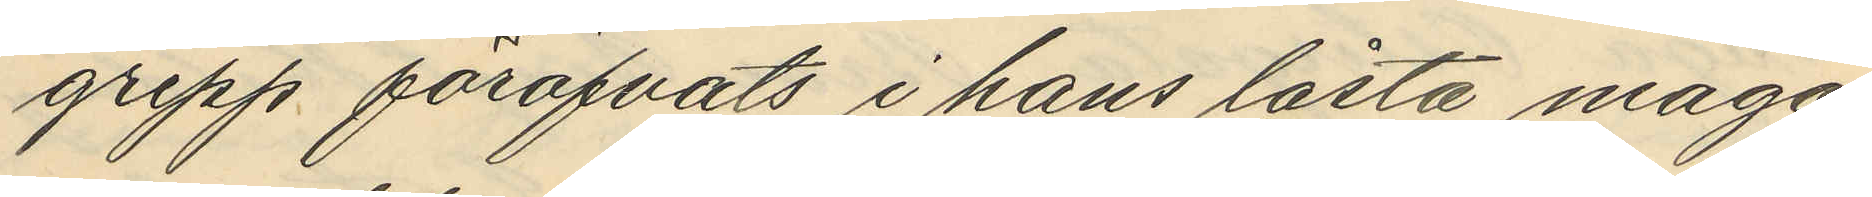grepp föröfvats i hans låsta maga¬
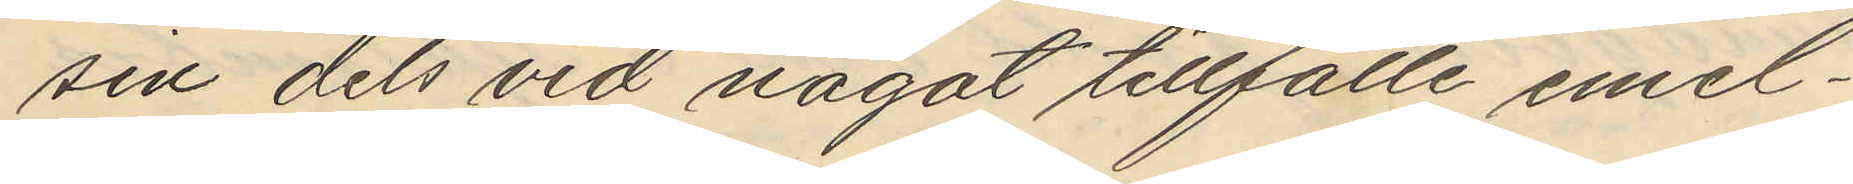sin dels vid något tillfälle emel¬
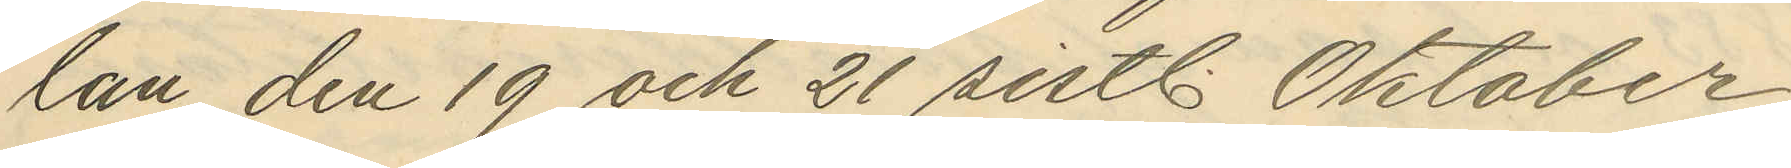lan den 19 och 21 sistl. Oktober
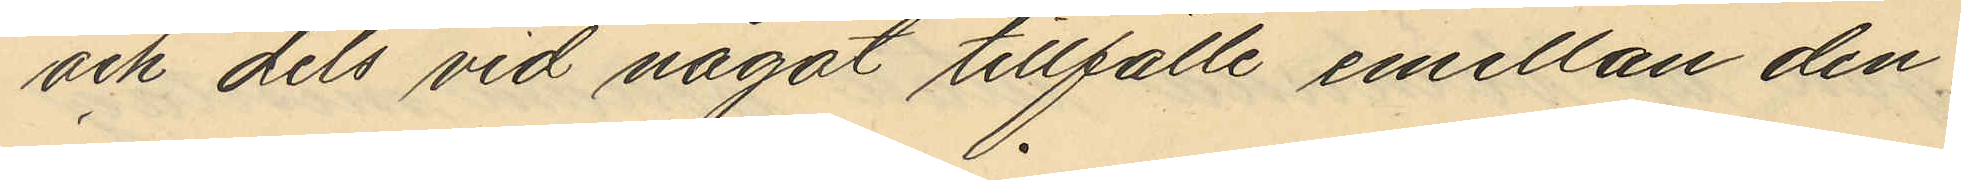och dels vid något tillfälle emellan den
